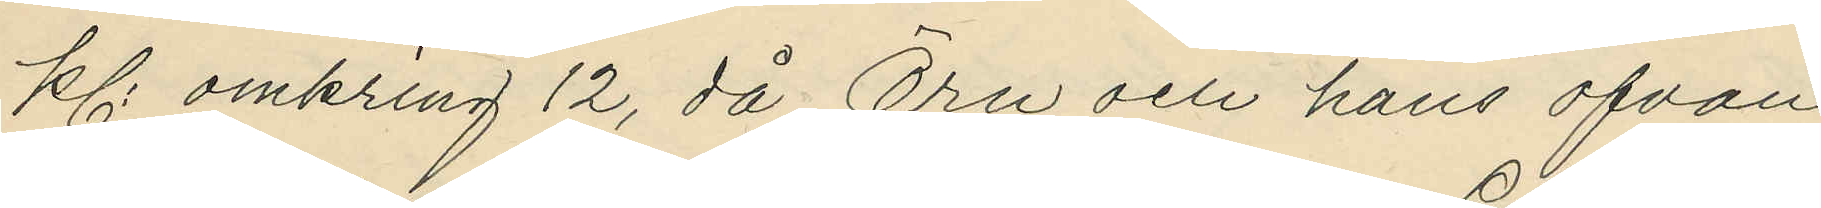kl. omkring 12, då Örn och hans ofvan¬
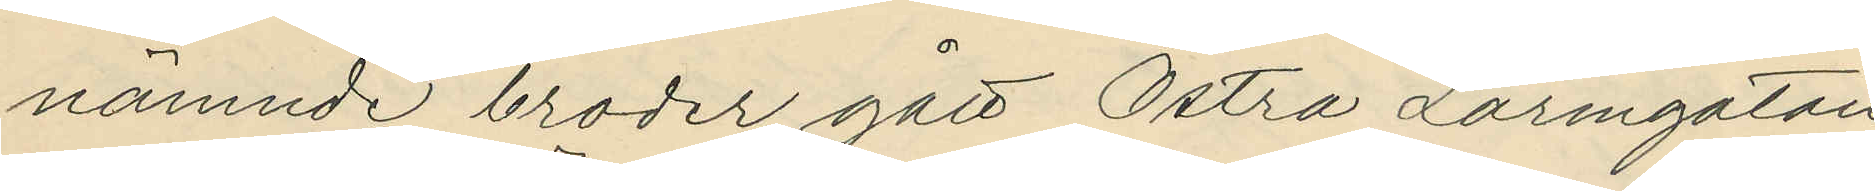nämnde broder gått Östra Larmgatan
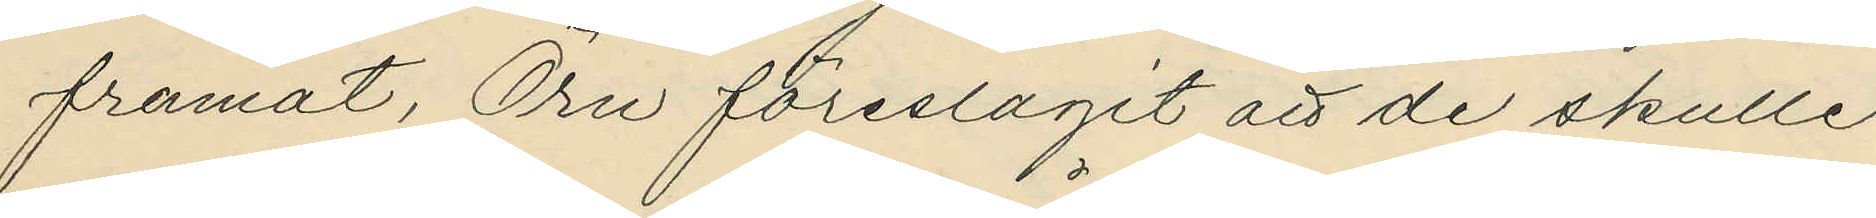framåt, Örn föreslagit att de skulle
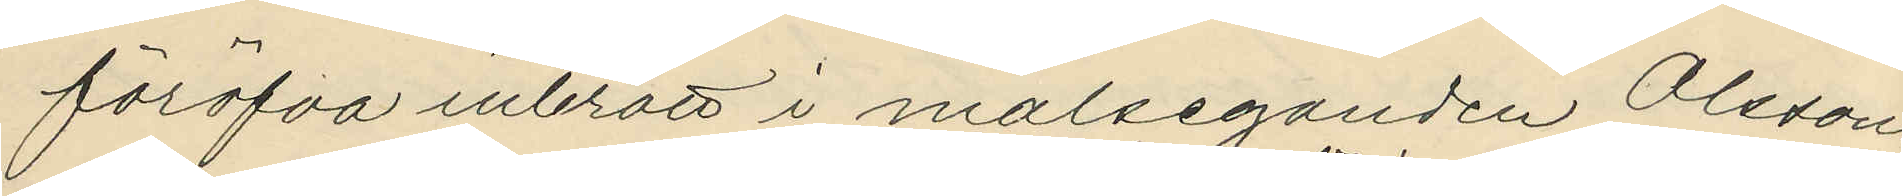föröfva inbrott i målseganden Olssons
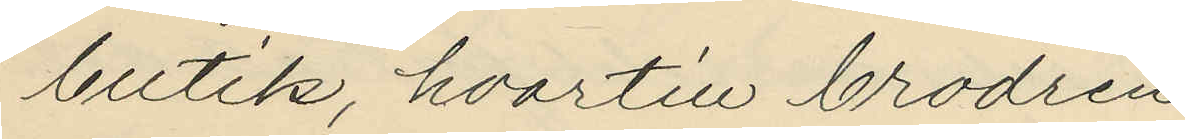butik, hvartill brodren
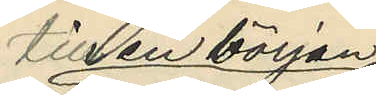till en början
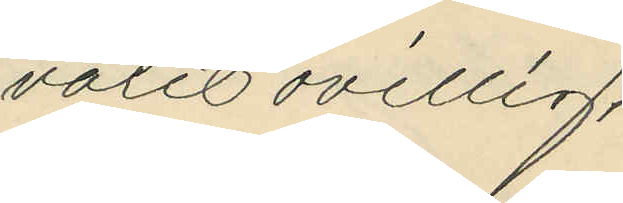varit ovillig,
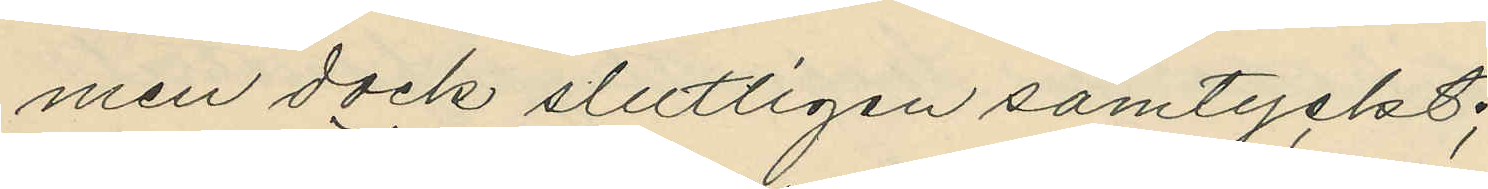men dock slutligen samtyckt;
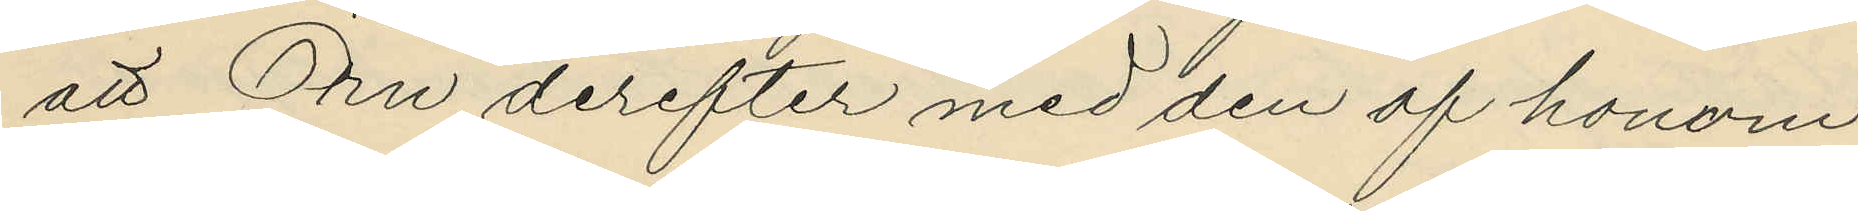att Örn derefter med den af honom
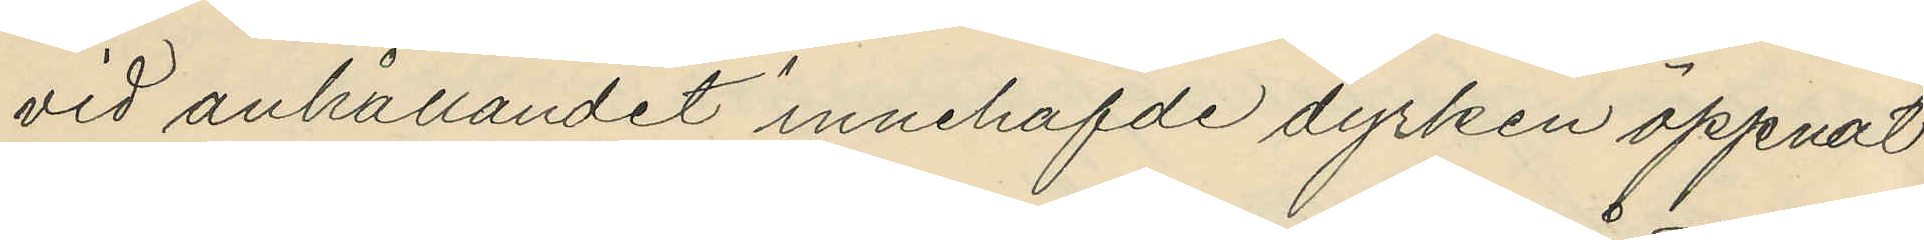vid anhållandet innehafde dyrken öppnat
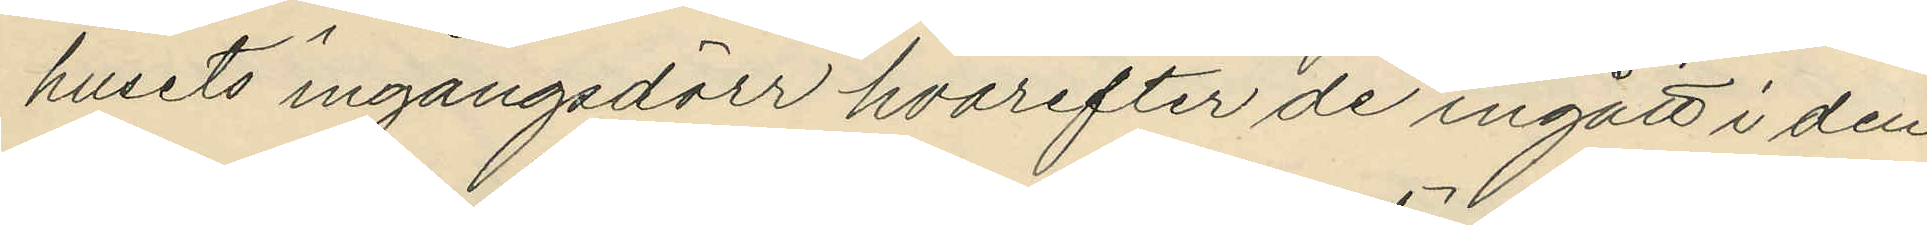husets ingångsdörr hvarefter de ingått i den
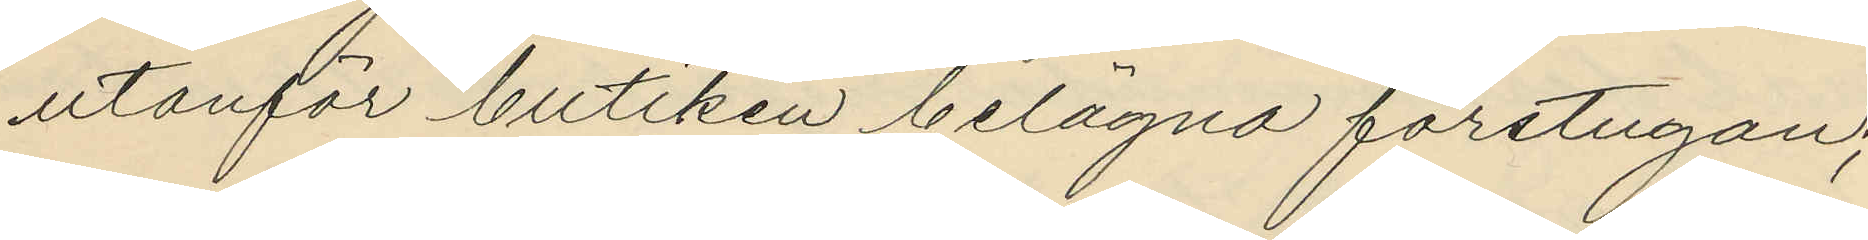utanför butiken belägna förstugan;
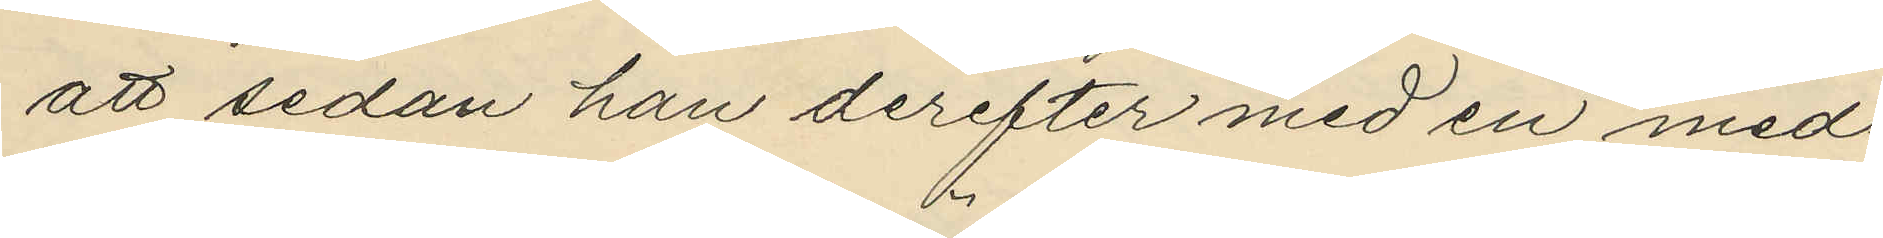att sedan han derefter med en med¬
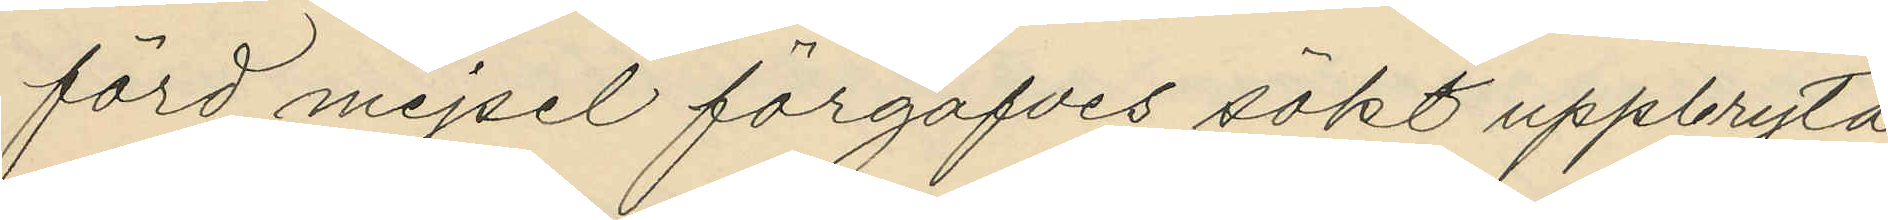förd mejsel förgäfves sökt uppbryta
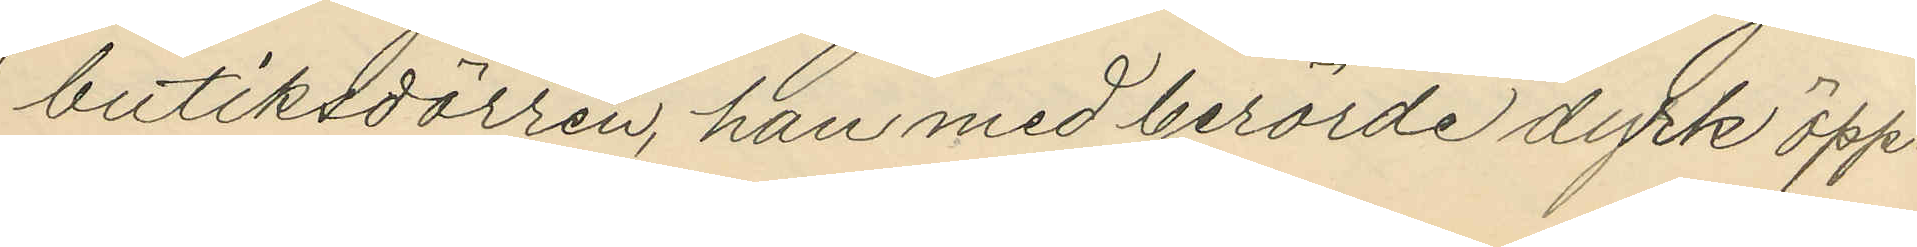butiksdörren, han med berörde dyrk öpp¬
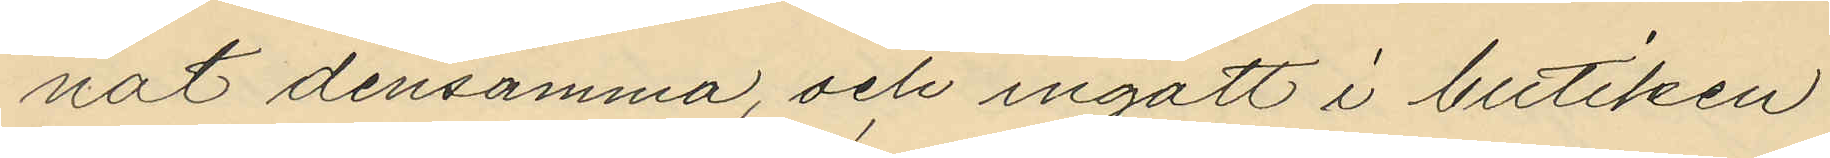nat densamma, och ingått i butiken
